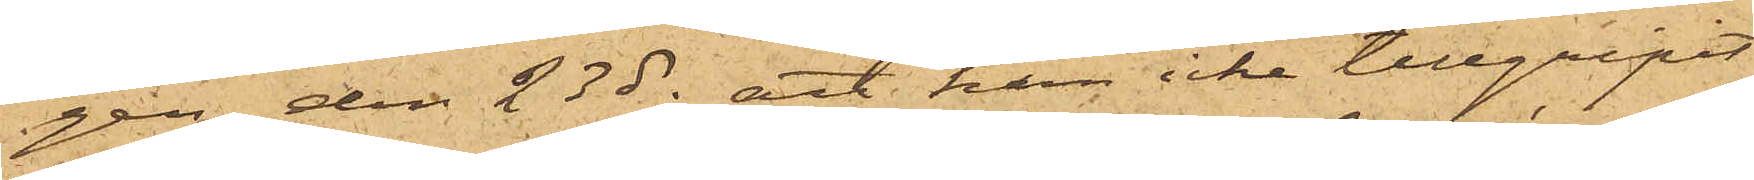gen den 23 ds;  att han icke tillgripit
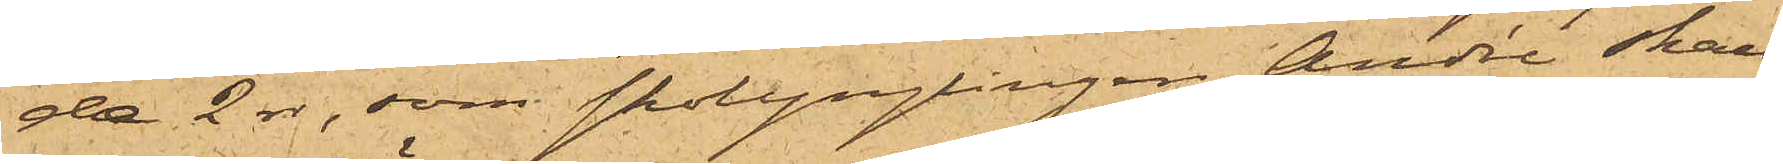de 2 rdr, som skolynglingen André skall
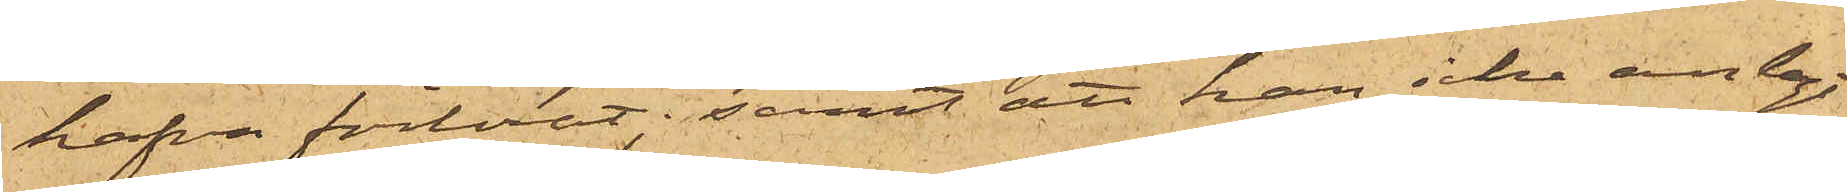hafva förlorat; samt att han icke anlagt
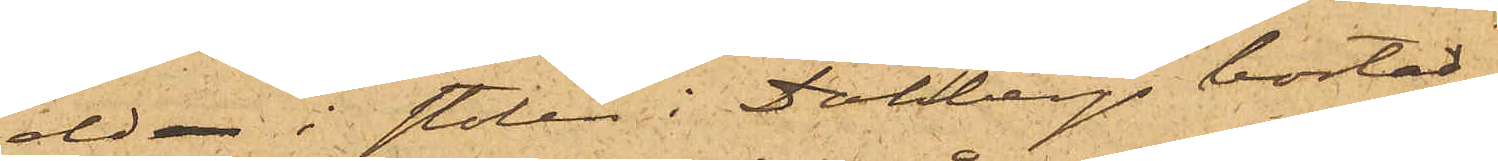eld i stolen i Dahbergs bostad, 
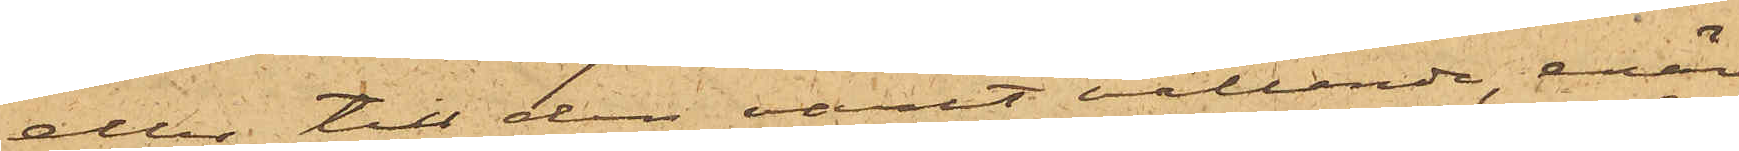eller till den varit vållande, enär
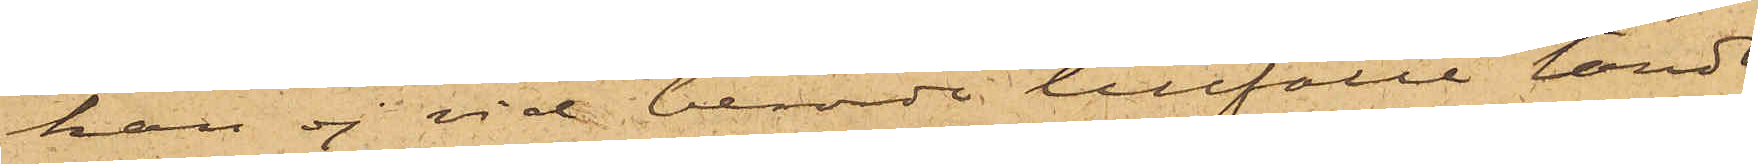han ej vid berörde tillfälle tändt
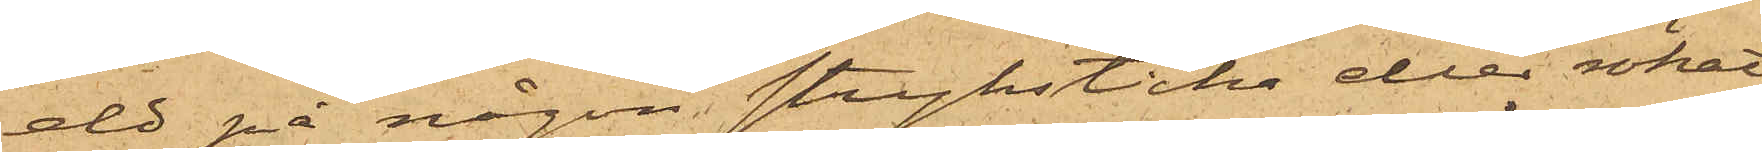eld på någon stryksticka eller rökat
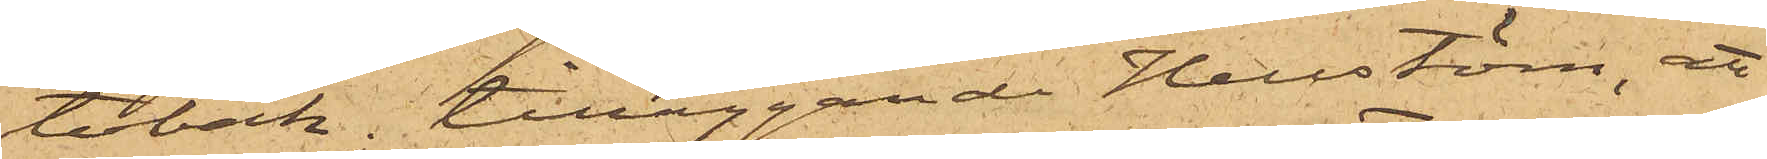tobak; tilläggande Hellstöm, att
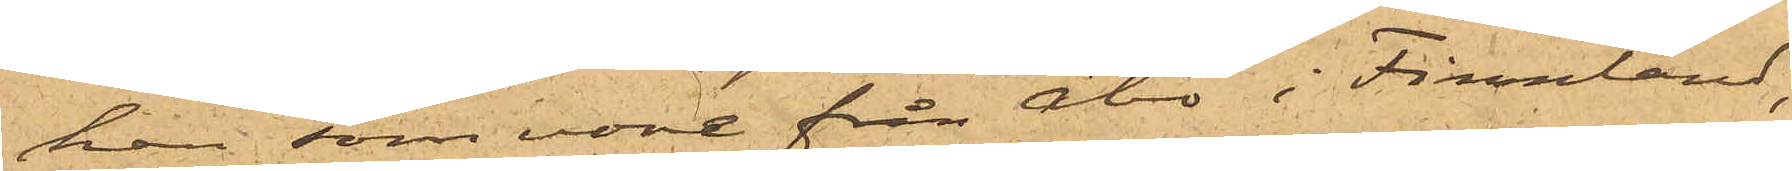han som vore från Åbo i Finland,
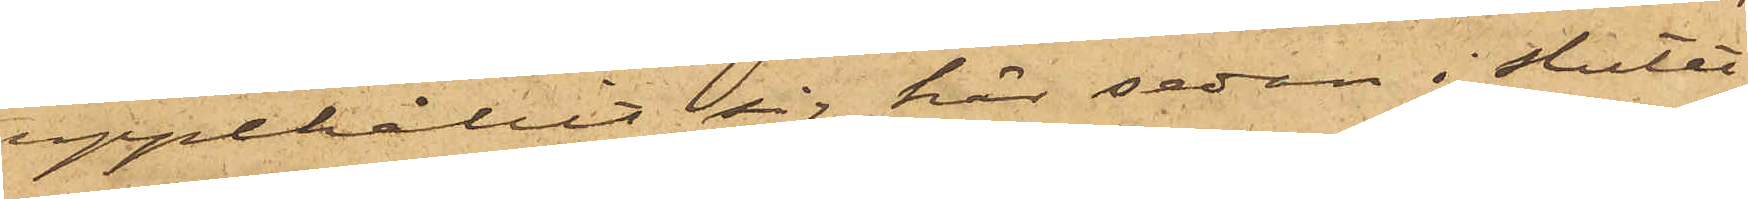uppehållit sig här sedan i slutet
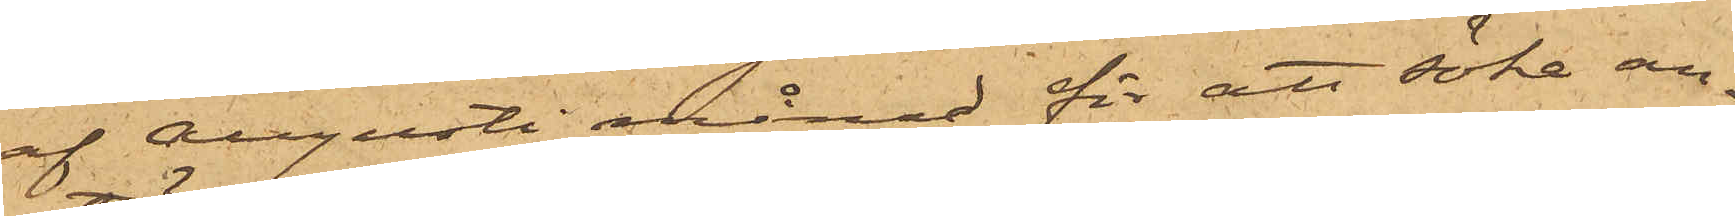af Augusti månad för att söka an¬
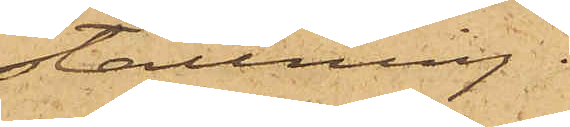ställning.
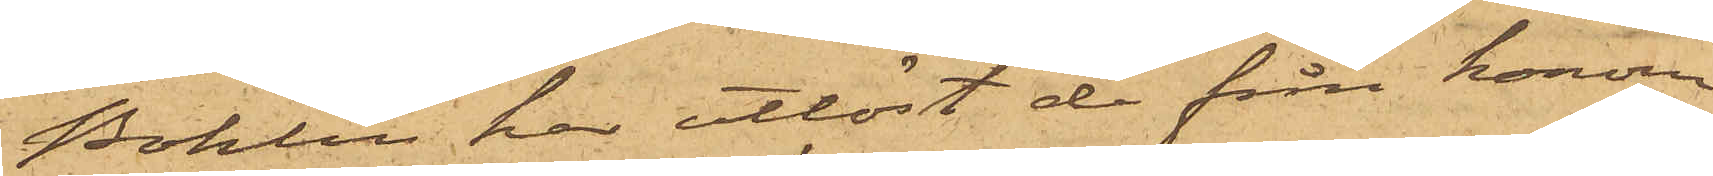Bohlin har utlöst de från honom
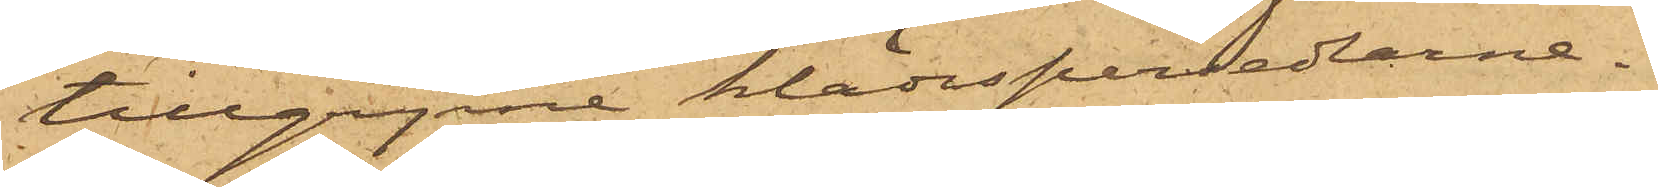tillgripne klädespersedlarne.
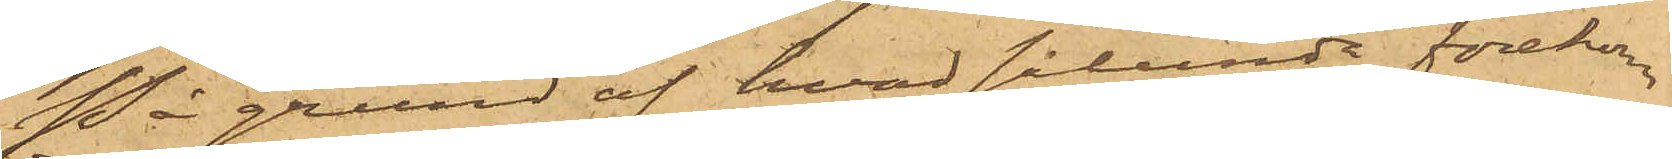På grund af hvad sålunda förekom¬
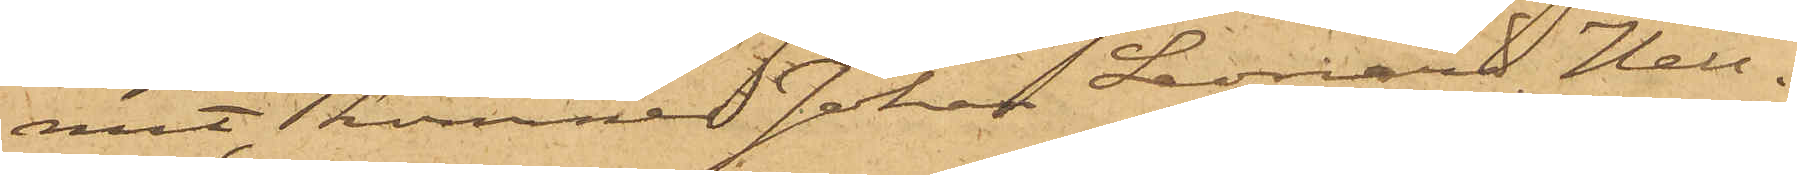mit, kommer Johan Leonard Hell¬
